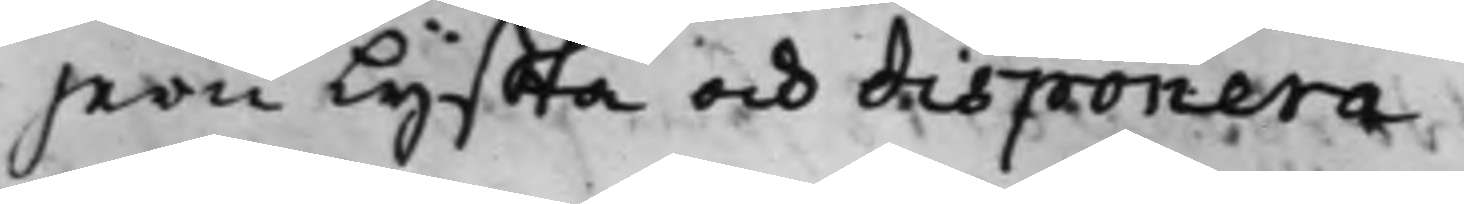jern lyffta och disponera.
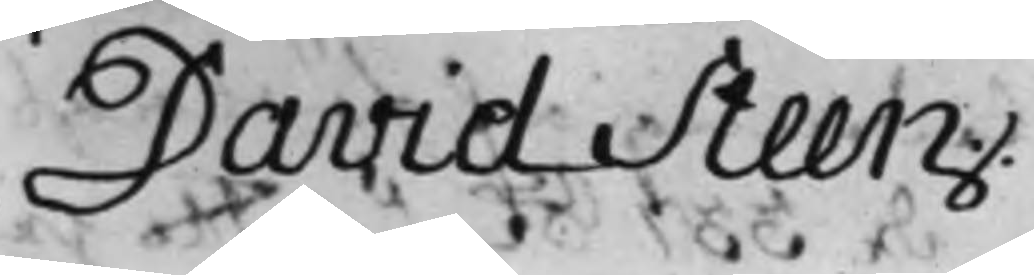Daniel Steen.
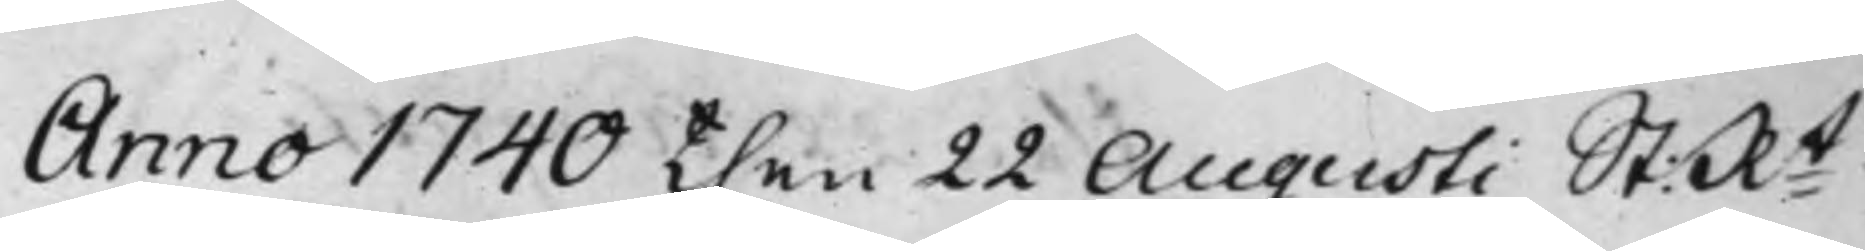Anno 1740 then 22 Augusti St: Rt
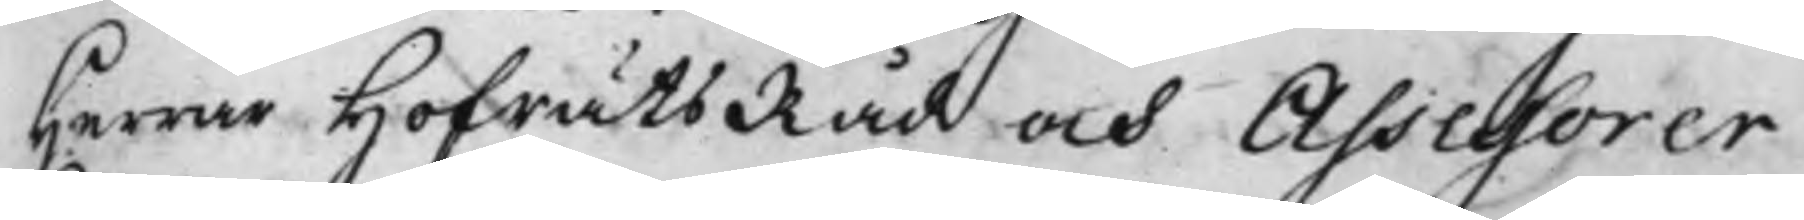Herrar HofrättsRåd och Assessorer
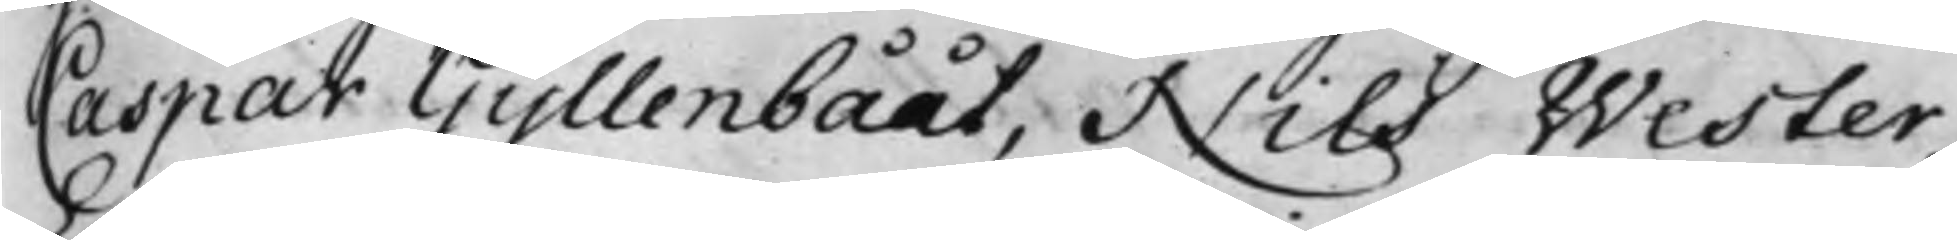Caspar Gyllenbååt, Nils Wester,
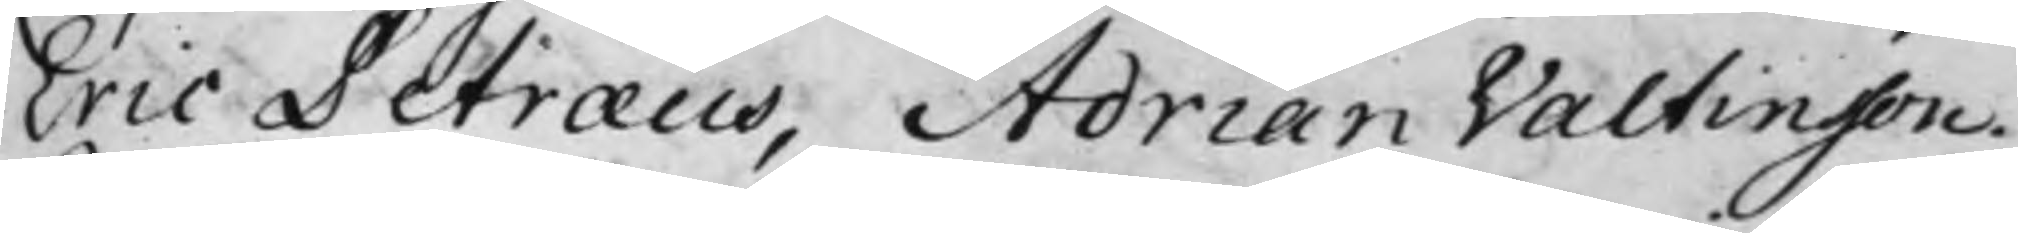Eric Petræus, Adrian Valtinsson.
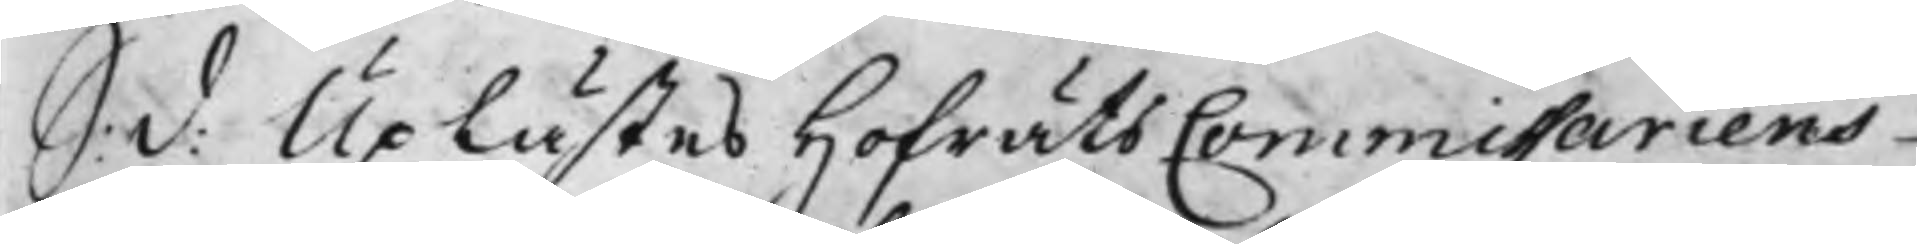S: d: Uplästes Hofrätts Commissariens
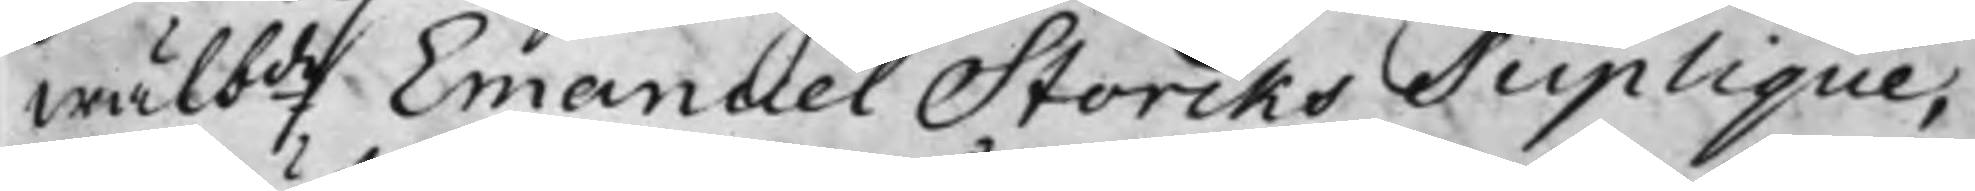wälbde Emanuel Storcks Suplique,
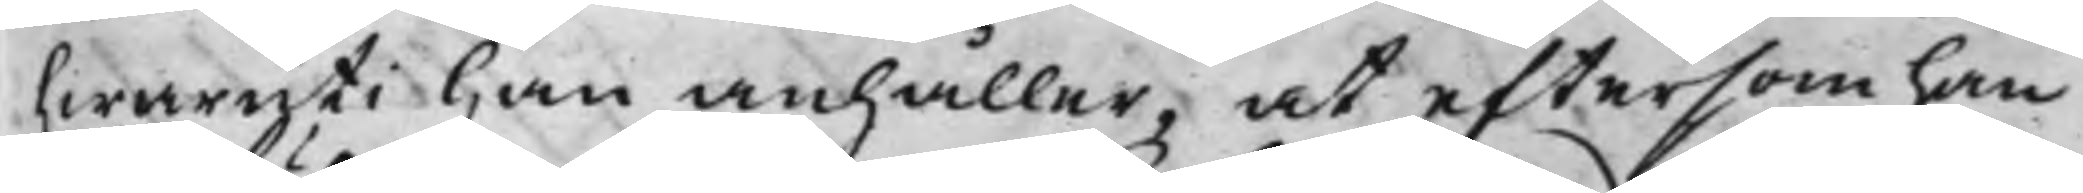hwaruti han anhåller, at eftersom han
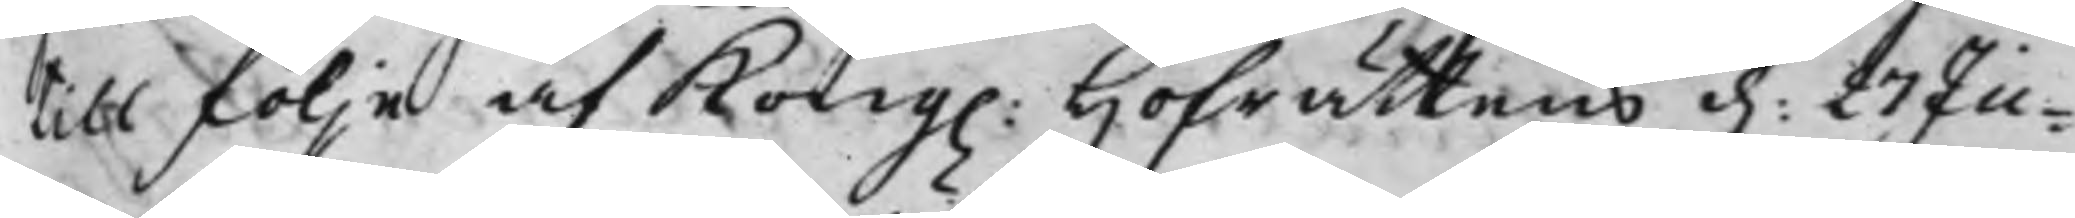till följe af Kong. Hofrättens d. 27 Ju¬
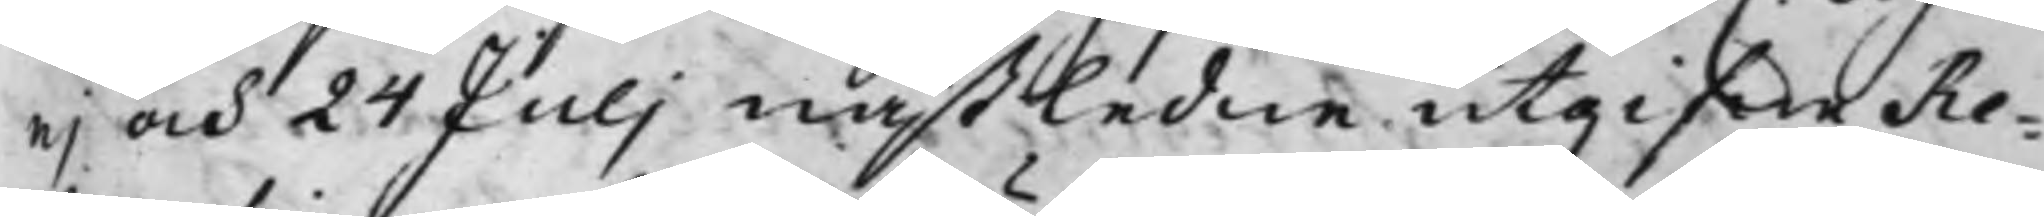nj och 24 Julj nästledne utgifne Re¬
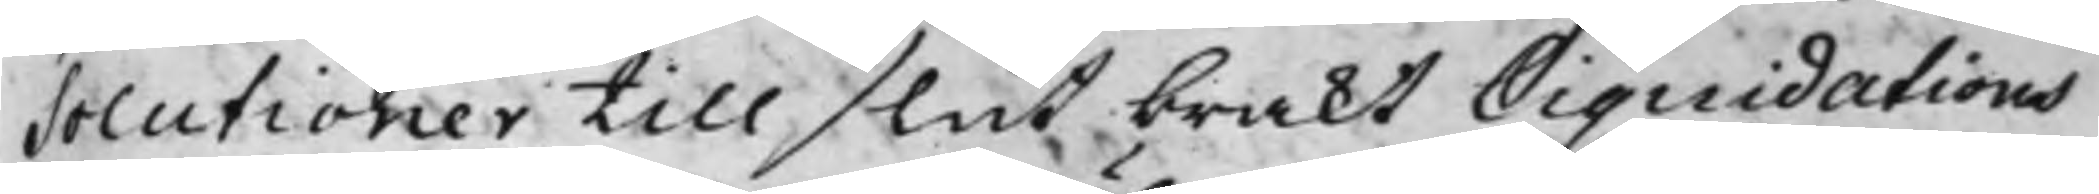solutioner till slut brakt Liquidations
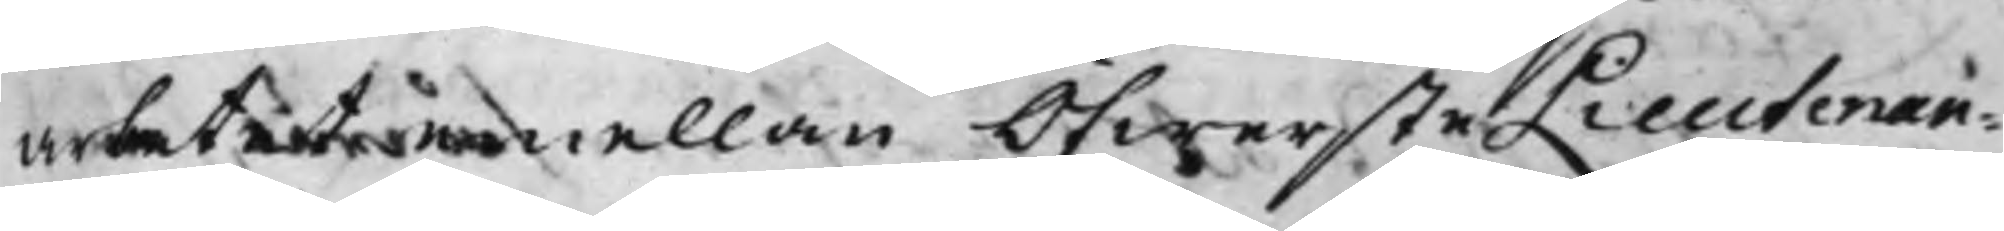arbetet emellan ÖfwersteLieutenan¬
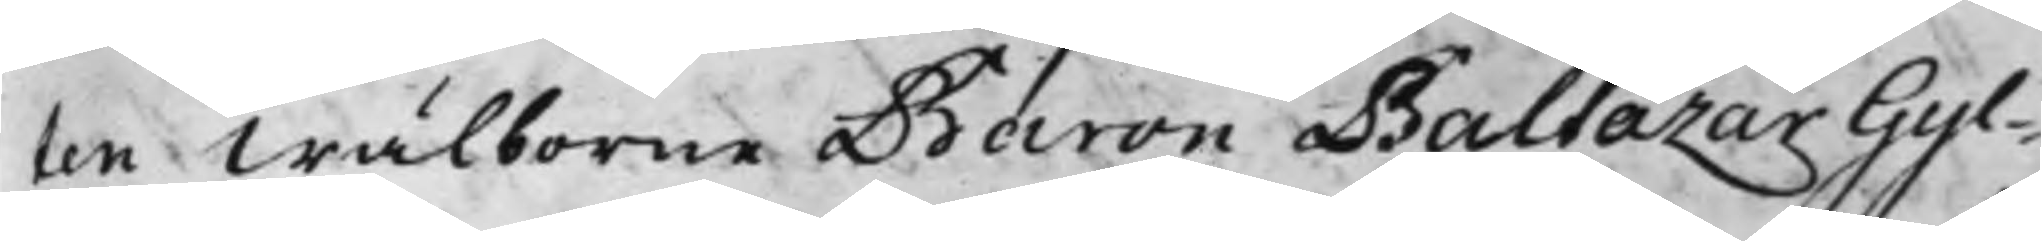ten Wälborne Baron Baltazar Gyl¬
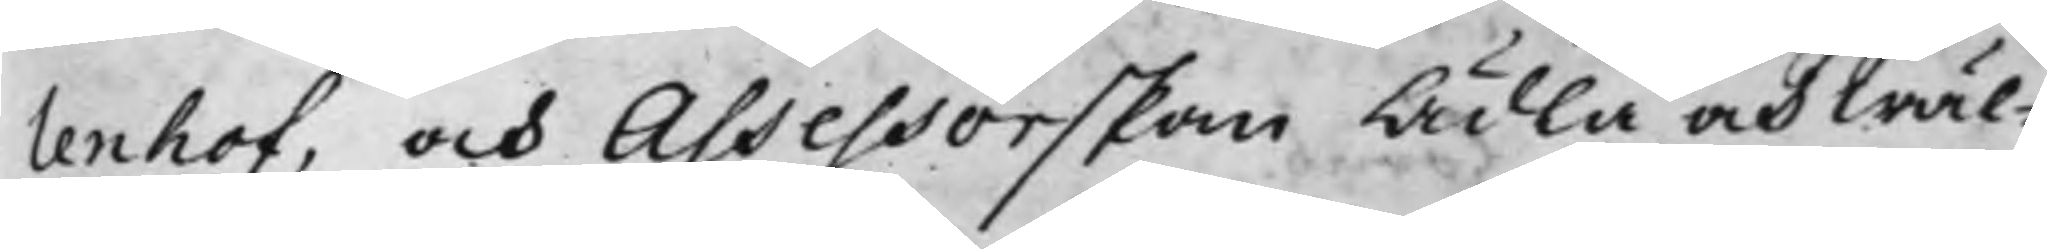lenhof, och Assessorskan Ädla och Wäl¬
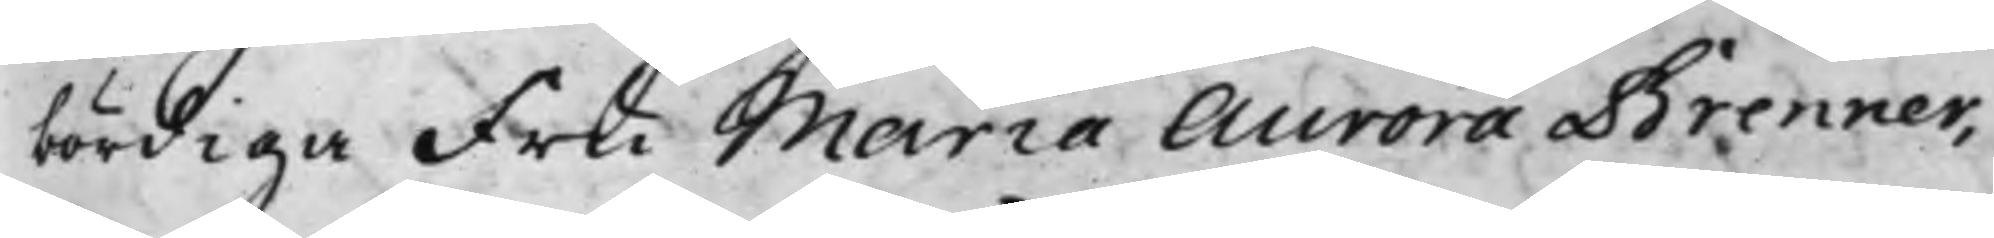bördiga Fru Maria Aurora Brenner,
